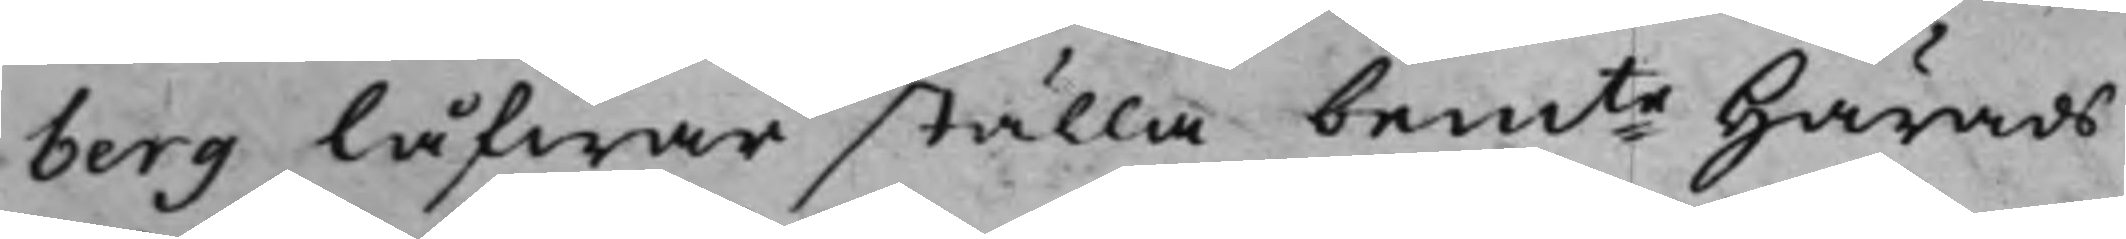berg låfwar ställa bemte Härads¬
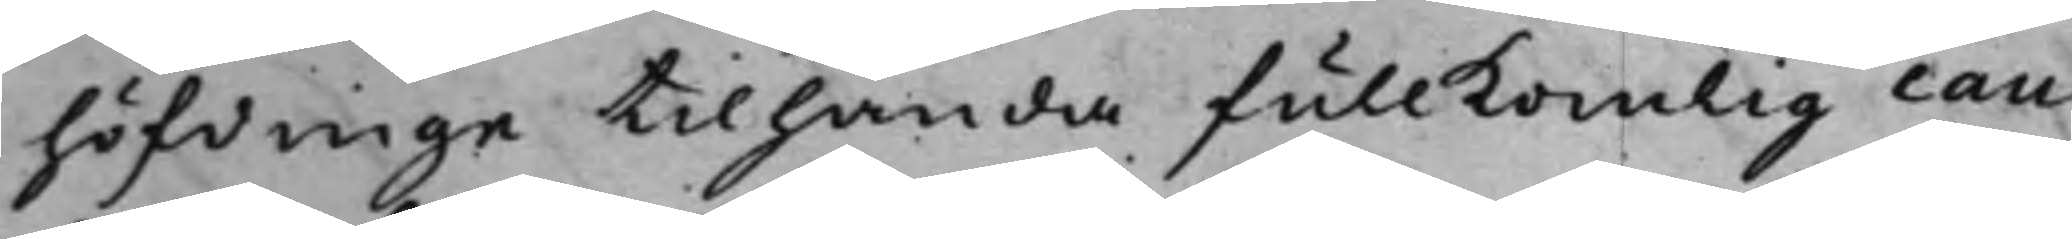höfdinge tilhanda fullkomlig cau¬
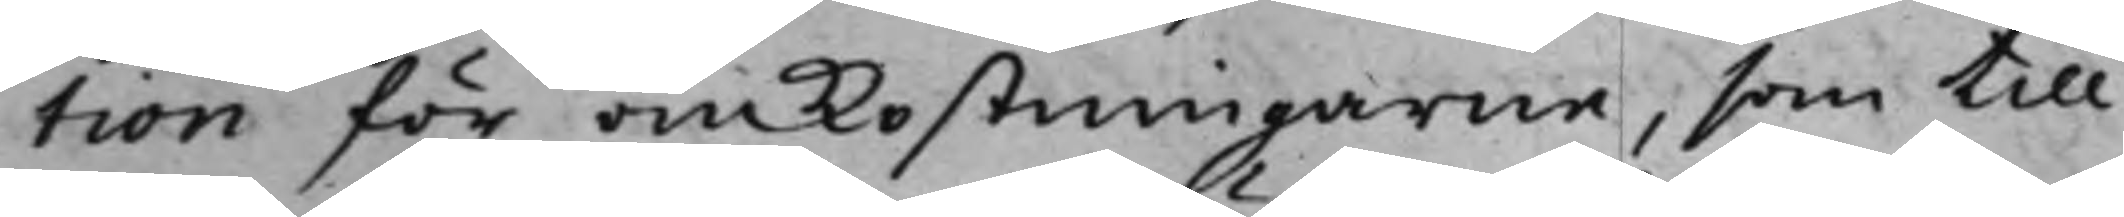tion för omkostningarne, som till
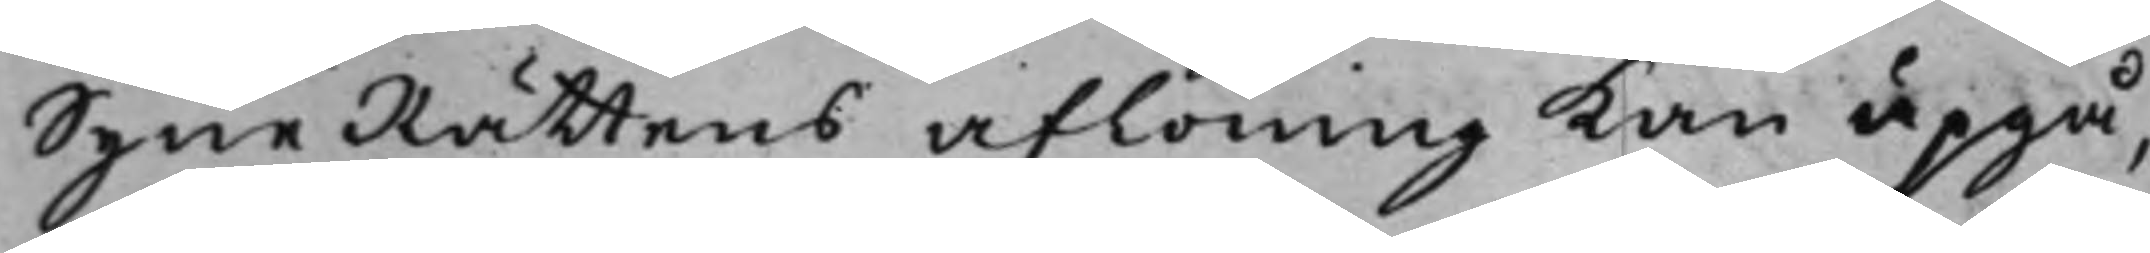SyneRättens aflöning kan upgå,
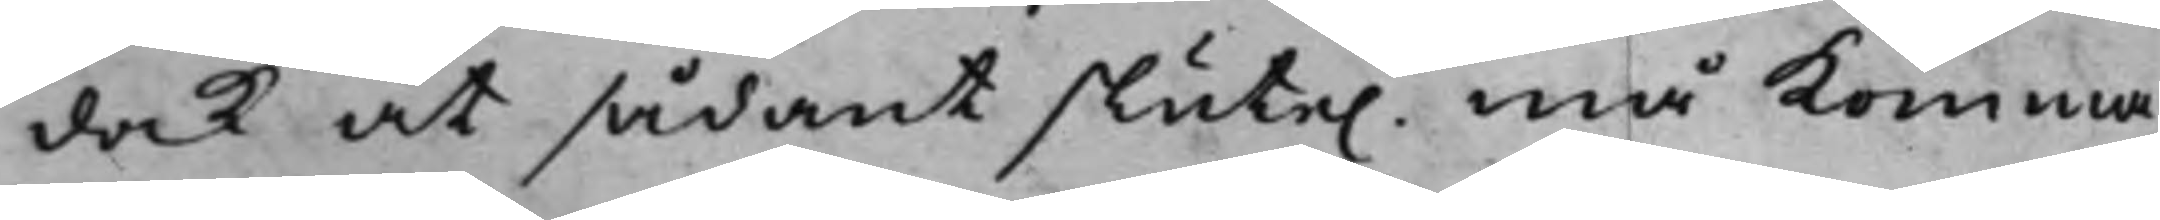dock at sådant slute. må komma
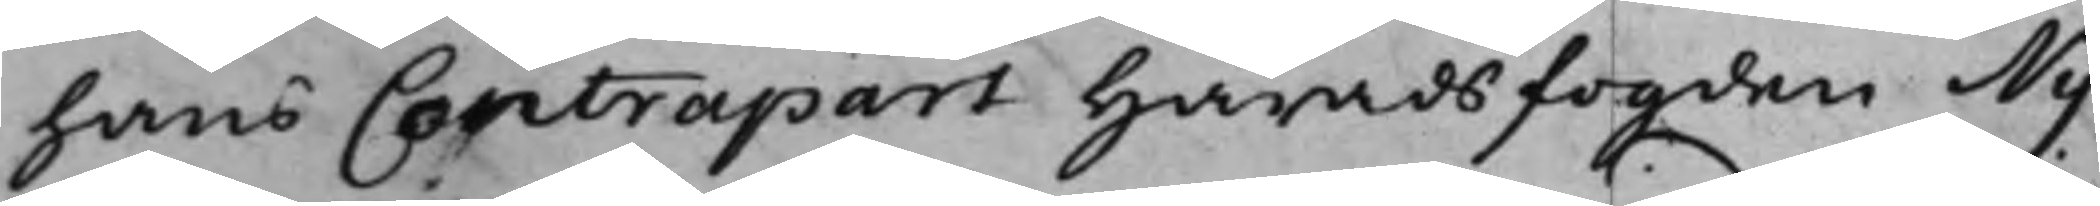hans Contrapart Häradsfogden Ny¬
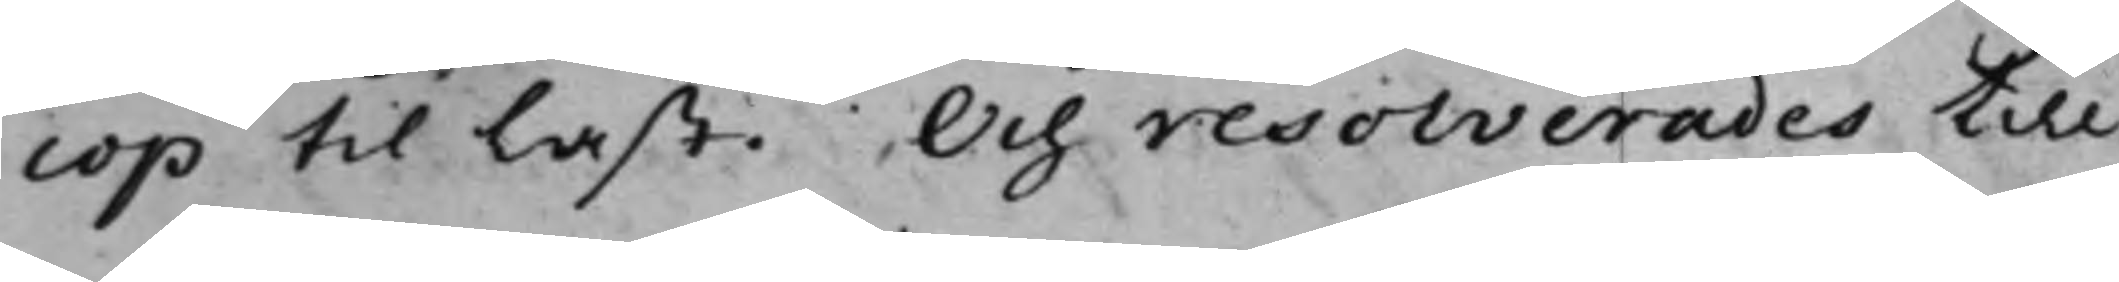cop till last. Och resolverades till
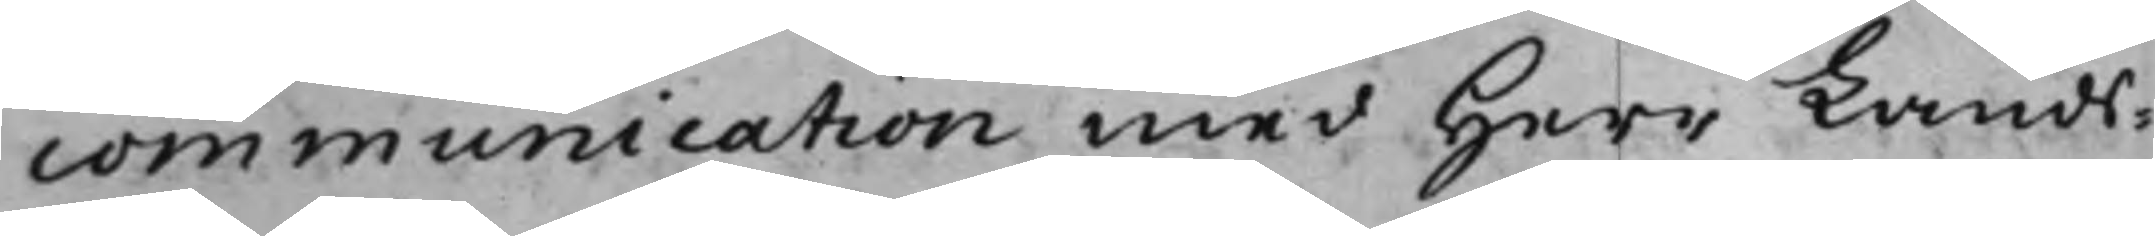communication med Herr Lands¬
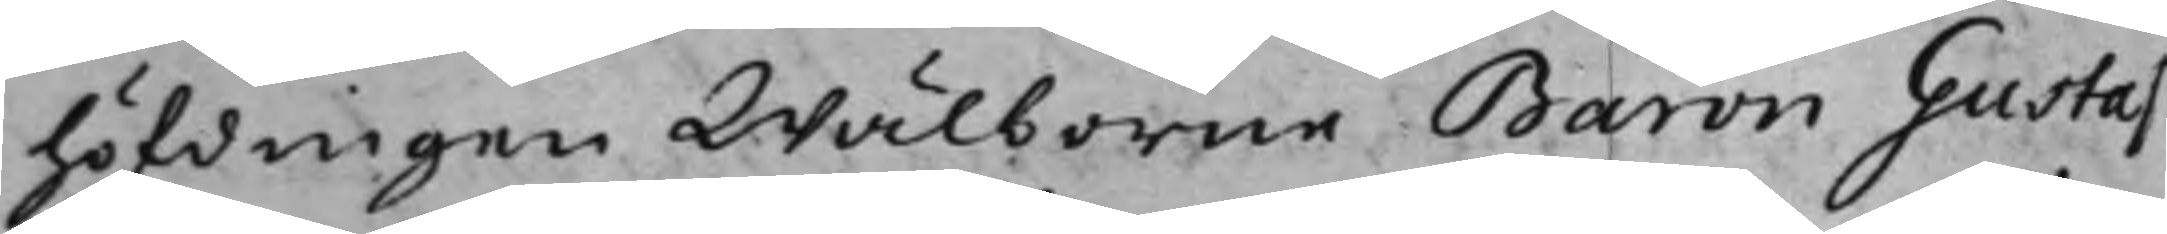höfdingen Wälborne Baron Gustaf
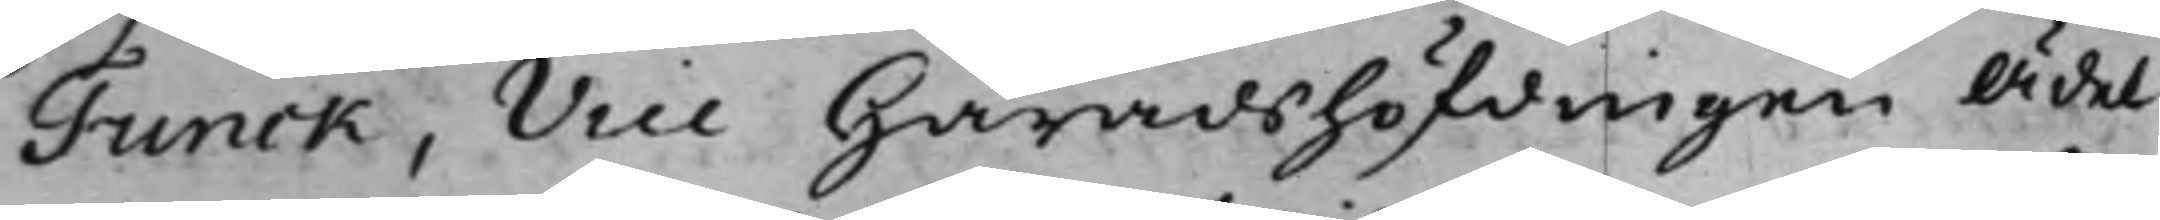Funck, Vice Häradshöfdingen Ädel
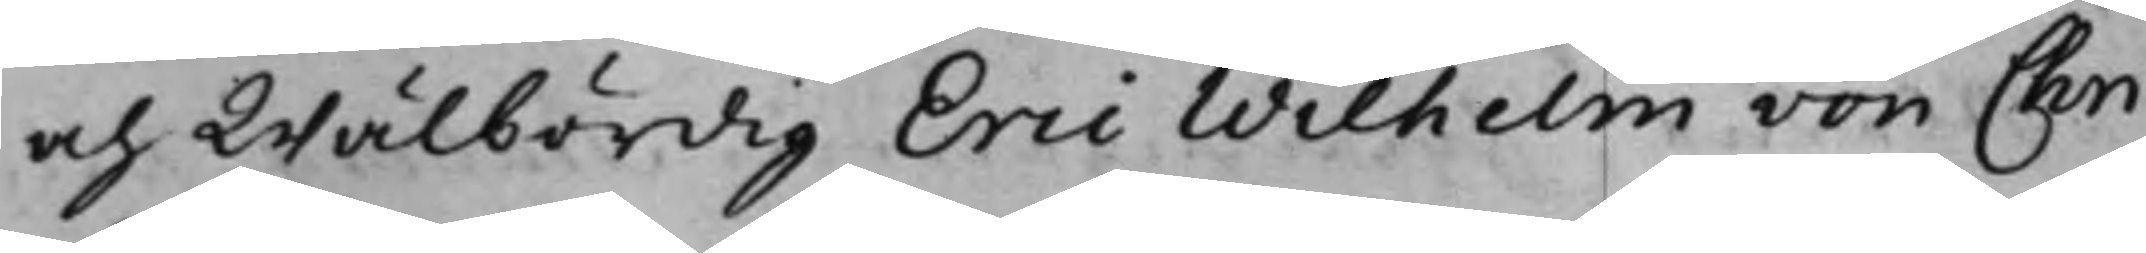och Wälbördig Eric Wilhelm von Chri¬
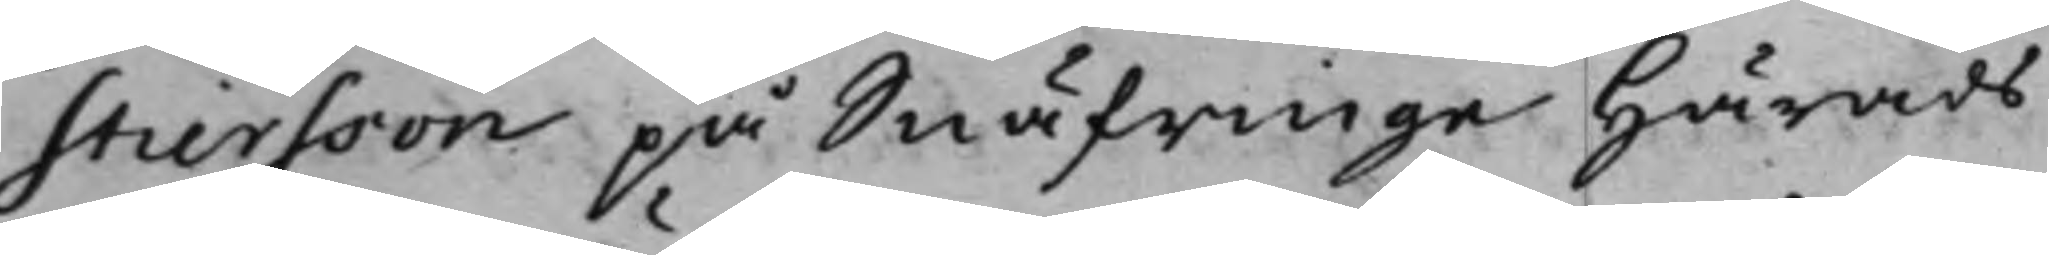stiersson på Snäfringe Härads¬
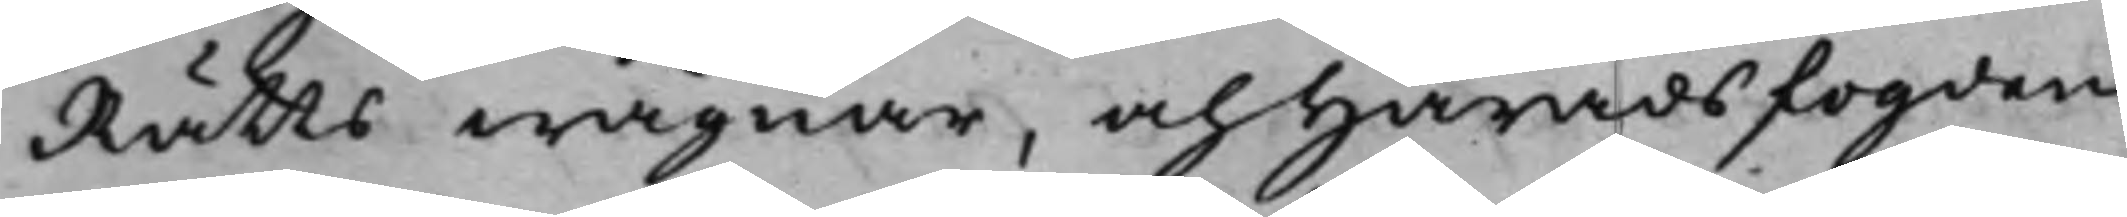Rätts wägnar, och Häradsfogden
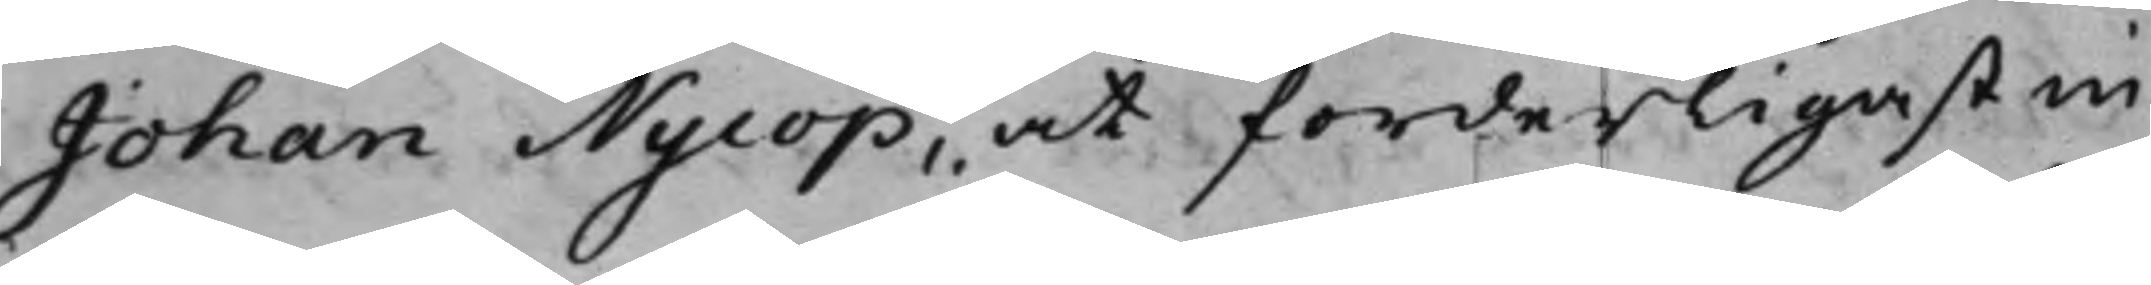Johan Nycop, at forderligast in¬
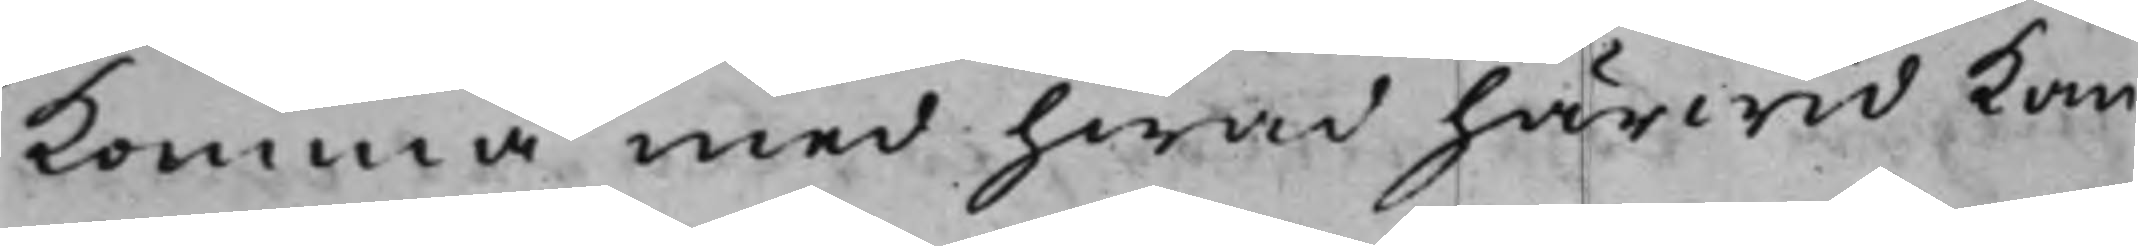komma med hwad härwid kan
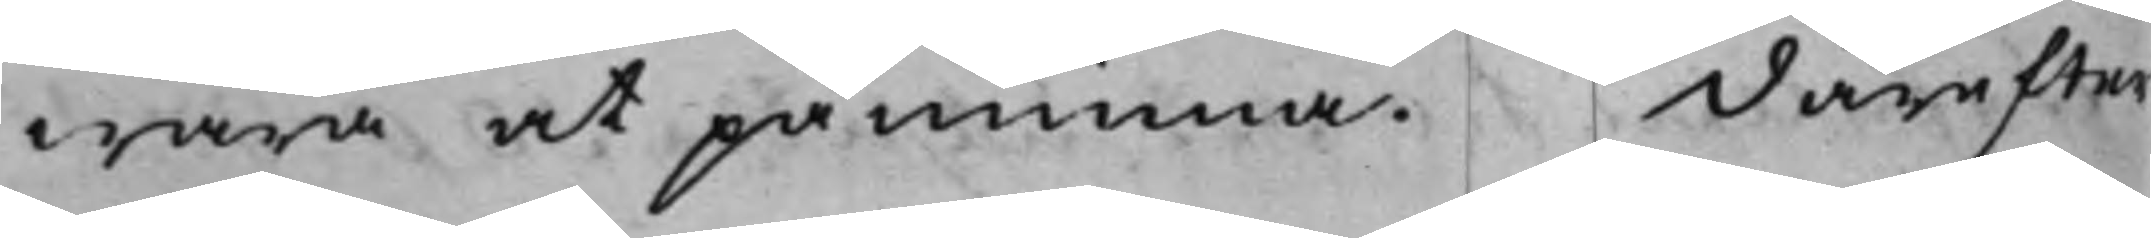wara at påminna. Därefter
